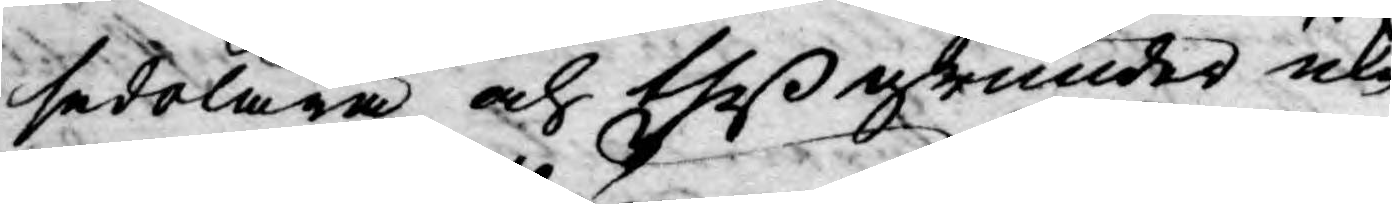sedelära och theß grunder icke
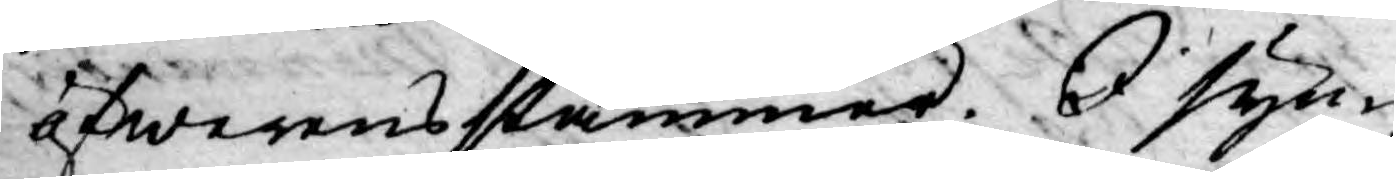öfwerensstämmer. I syn¬
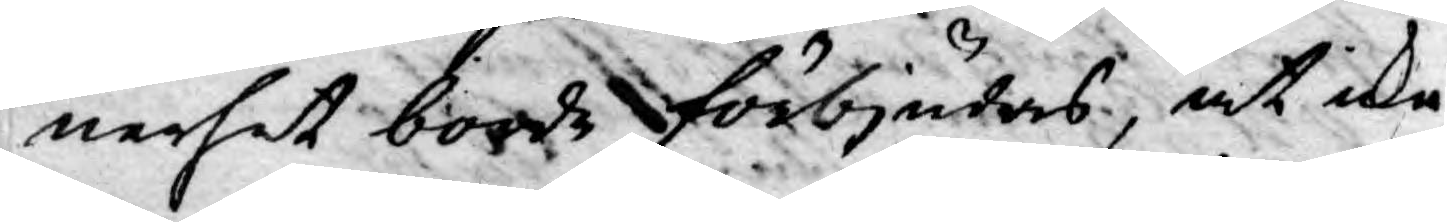nerhet borde förbjudars, at icke
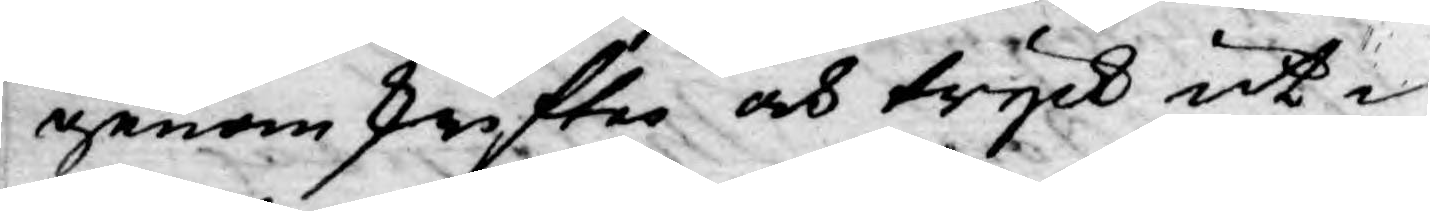genom skrifter och tryck ut¬
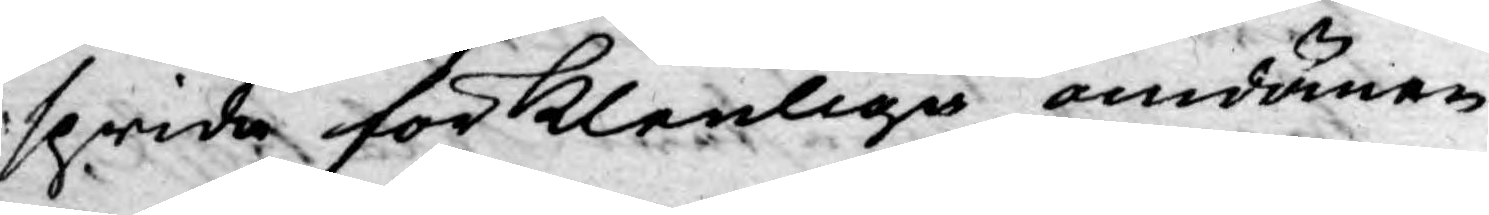sprida förklenliga omdömen
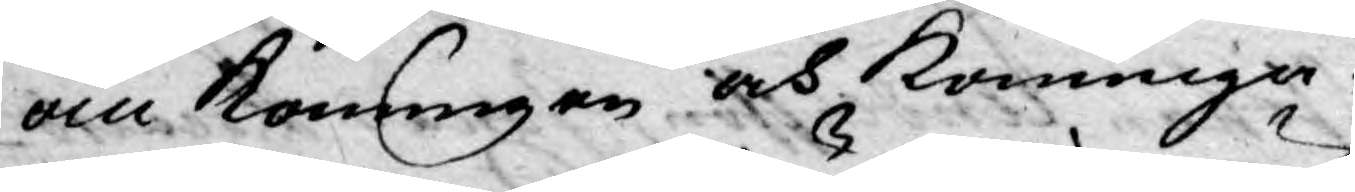om Konungen och Konunga¬
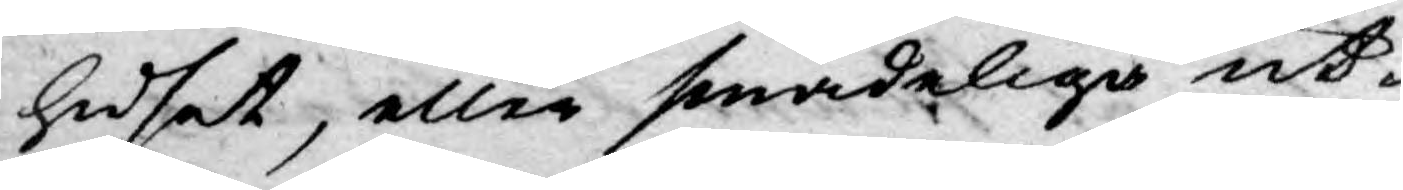huset, eller smädeliga ut¬
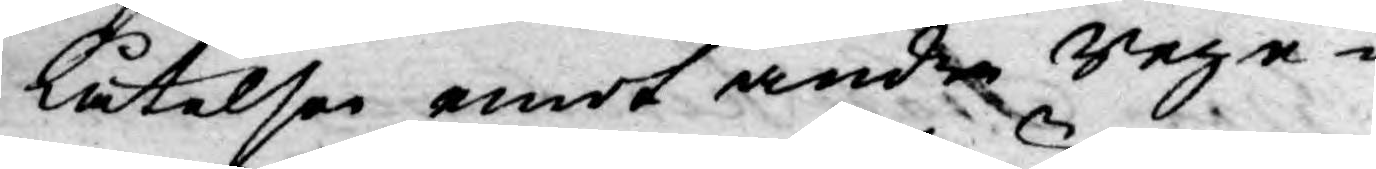låtelser emot andra Rege¬
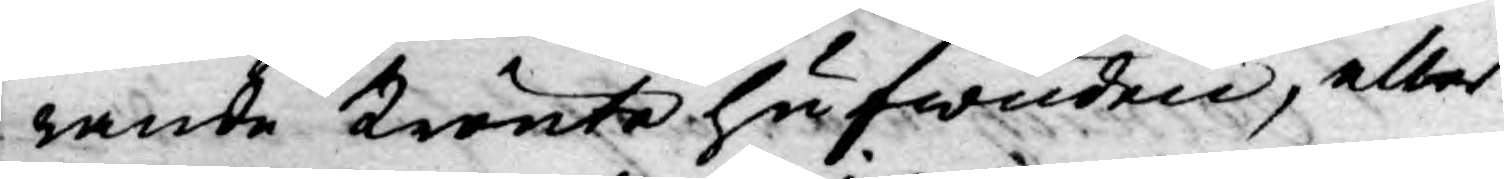rande krönte hufwuden, eller
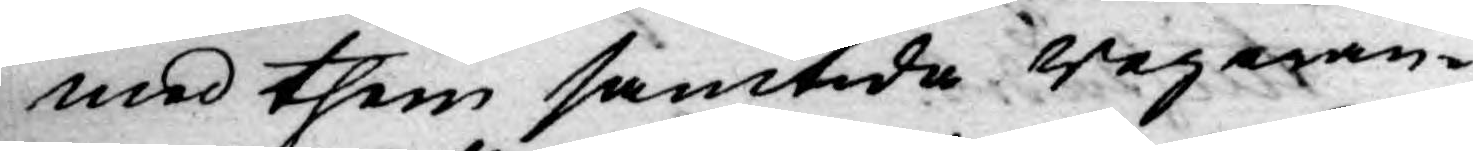med them samtida Regeran¬
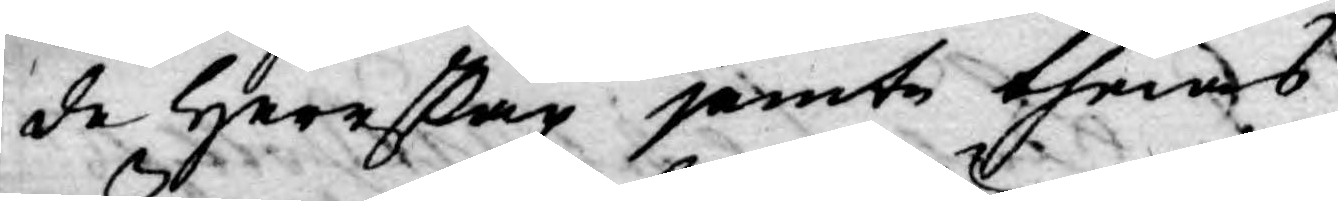de Herrskap jämte theras
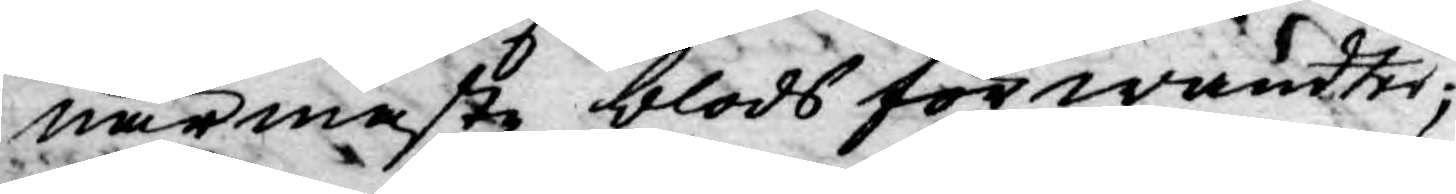närmaste blods förwandter;
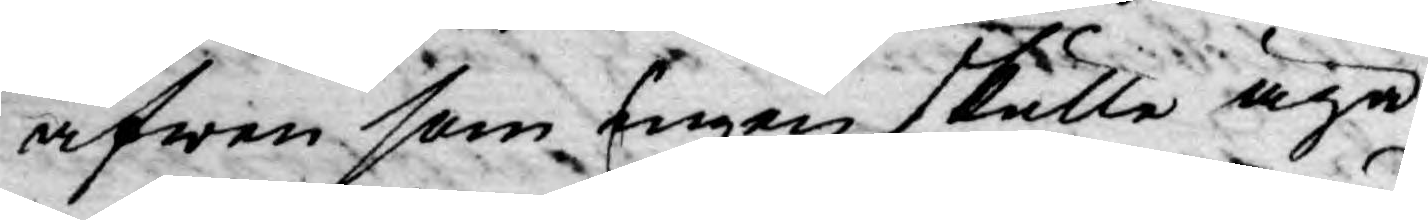äfwen som ingen skulle äga
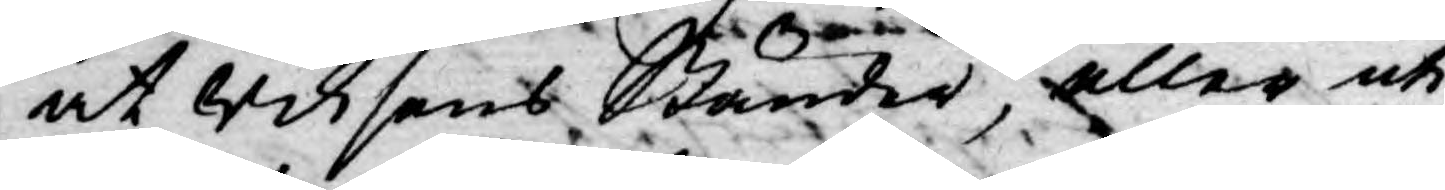at Riksens Ständer, eller uti
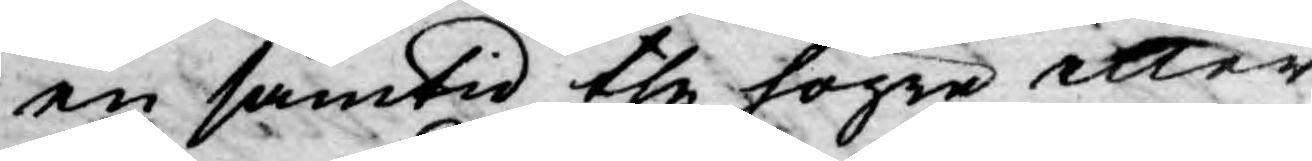en samtid the högre eller
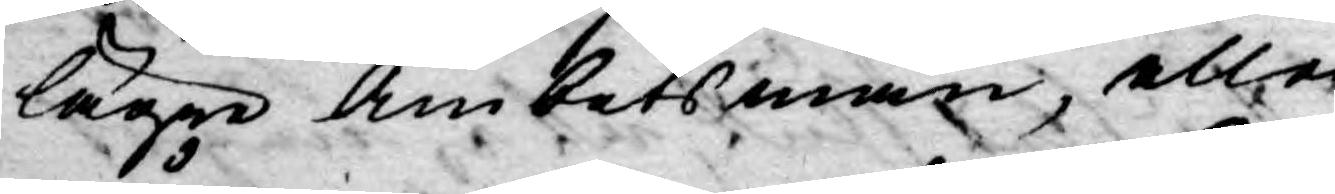lägre Ämbetsmän, eller
